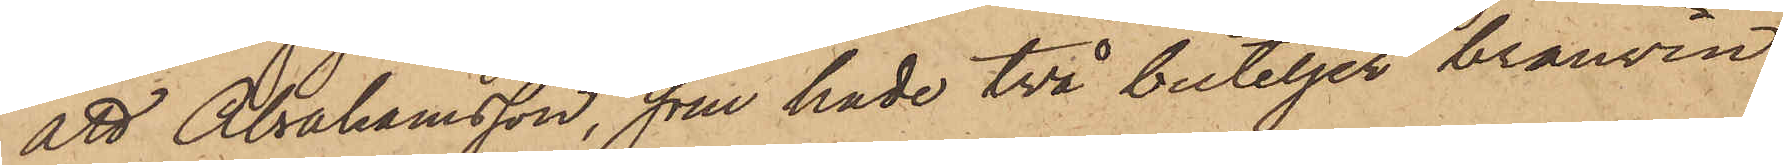att Abrahamsson, som hade två buteljer brännvin,
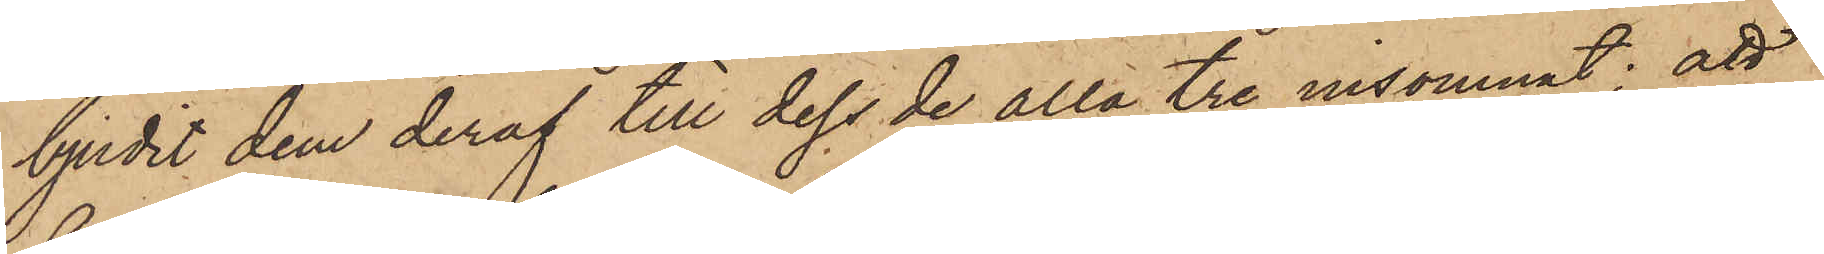bjudit dem deraf till dess de alla tre insomnat; att
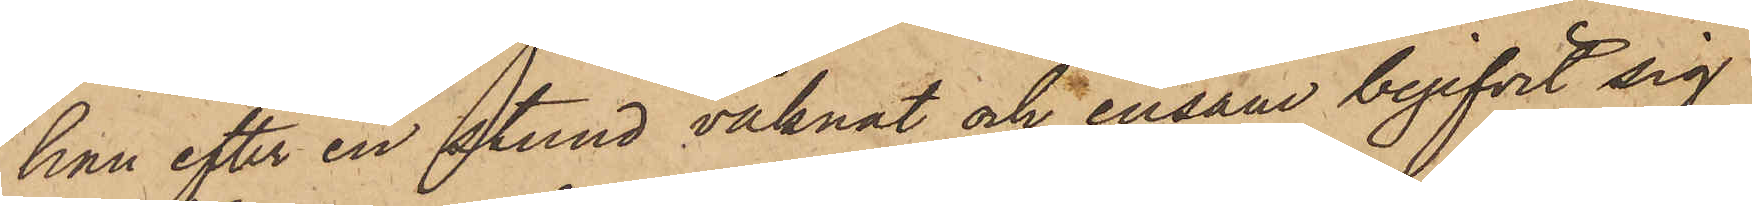han efter en stund vaknat och ensam begifvit sig
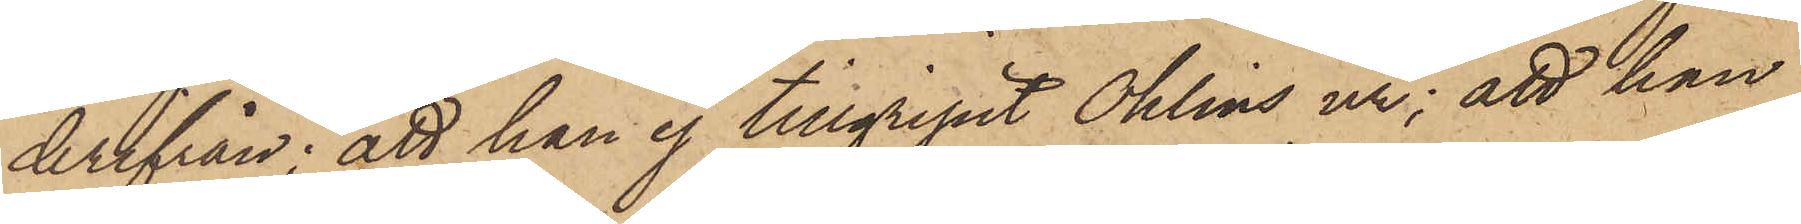derifrån; att han ej tillgripit Ohlins ur; att han
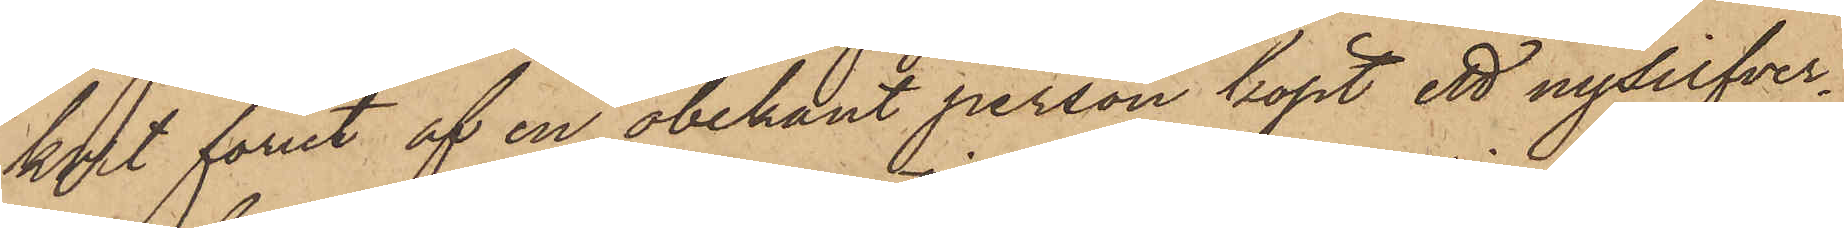kort förut af en obekant person köpt ett nysilfver¬
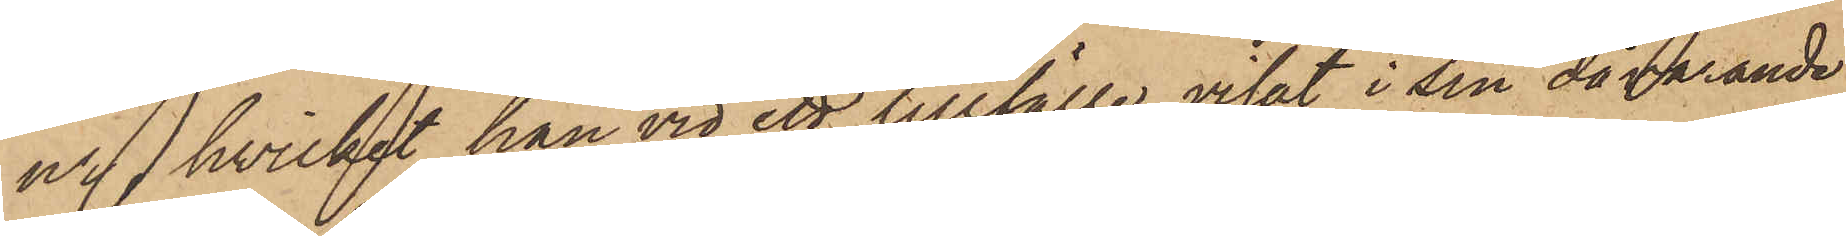ur, hvilket han vid ett tillfälle visat i sin dåvarande
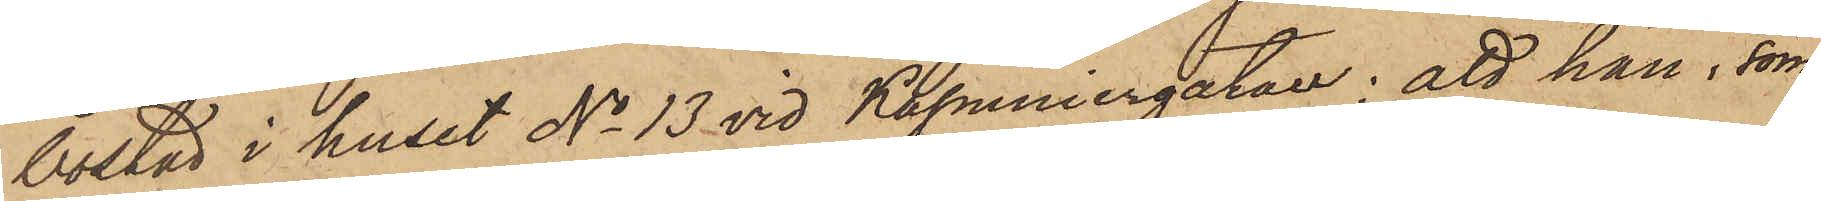bostad i huset No 13 vid Kapuniergatan; att han, som
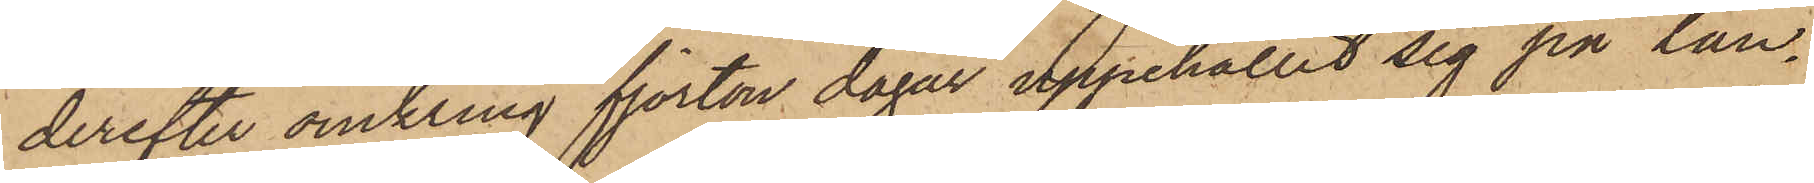derefter omkring fjorton dagar uppehållit sig på lan¬
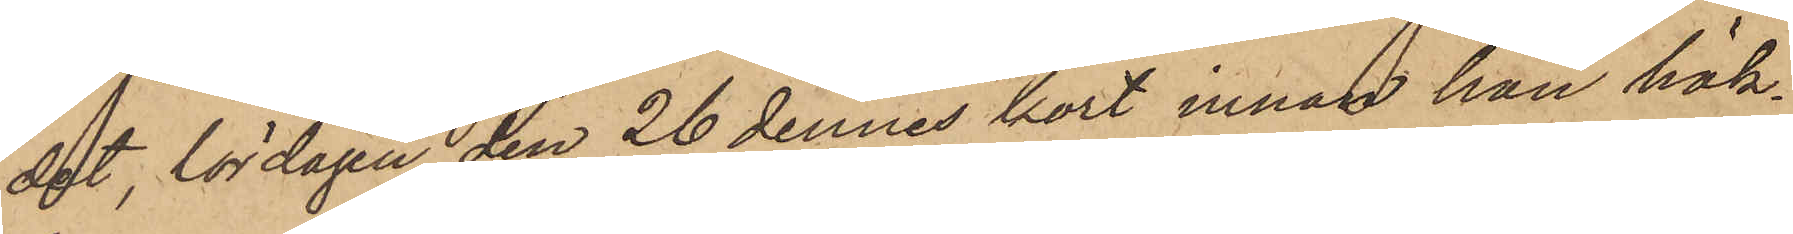det, lördagen den 26 dennes kort innan han häk¬
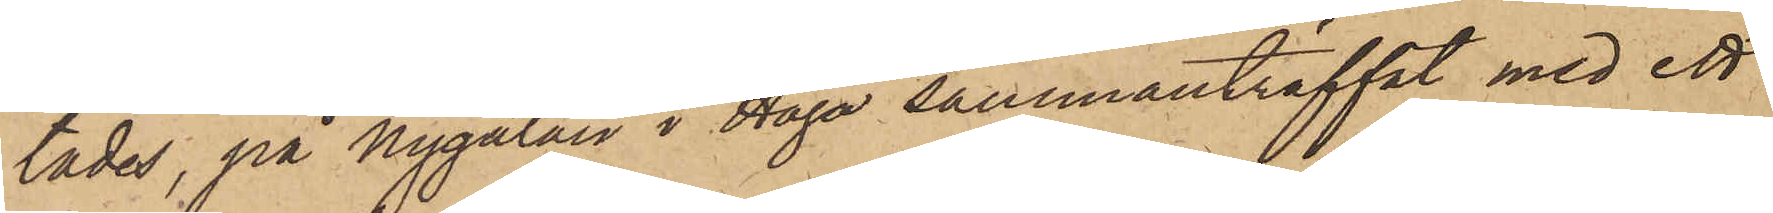tades, på Nygatan i Haga sammanträffat med ett
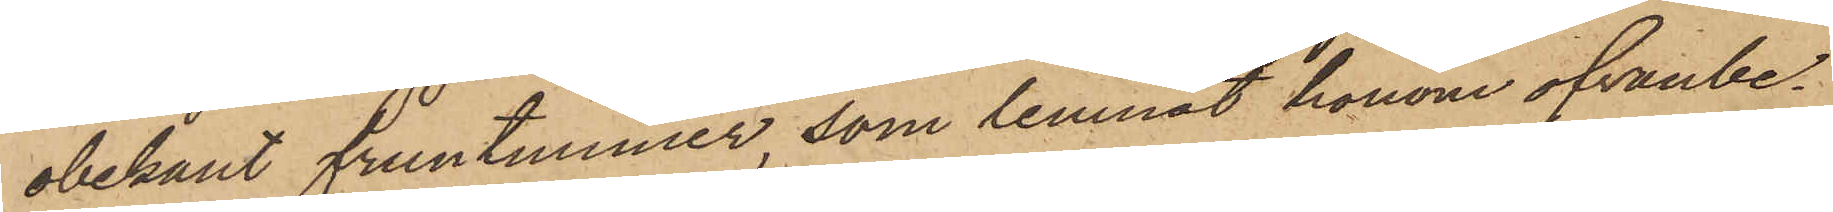obekant fruntimmer, som lemnat honom ofvanbe¬
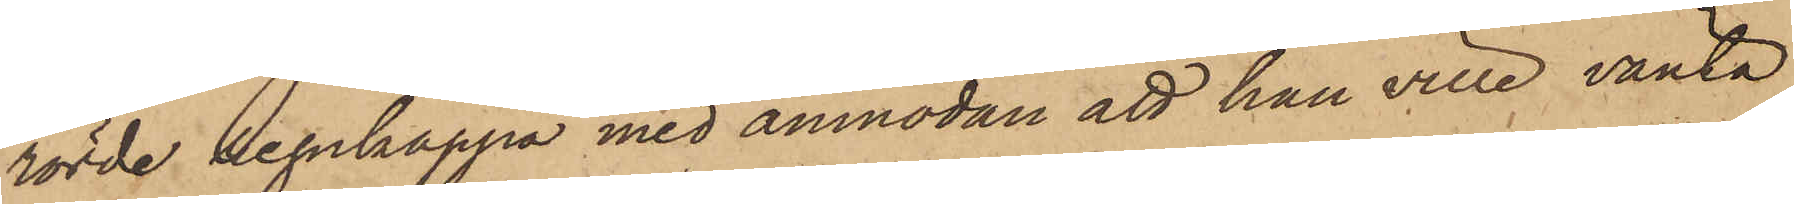rörde regnkappa med anmodan att han ville vänta
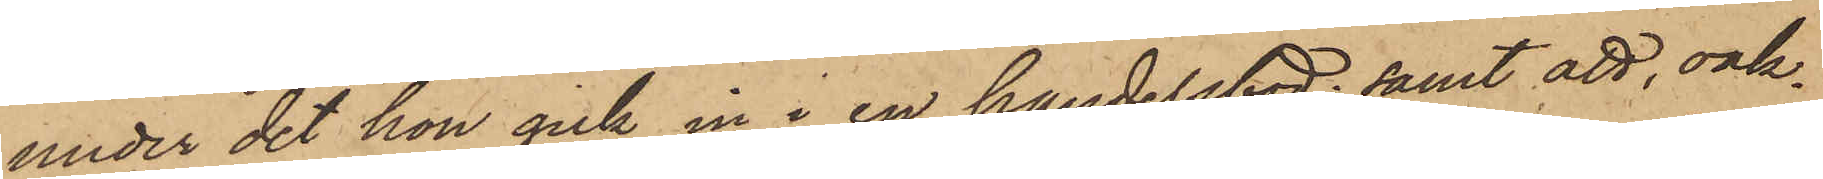under det hon gick in i en handelsbod; samt att, oak¬
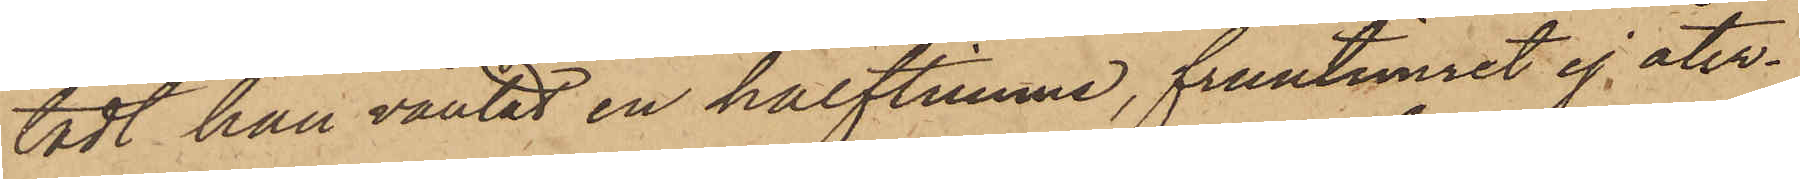tadt han väntat en halftimme, fruntimret ej åter¬
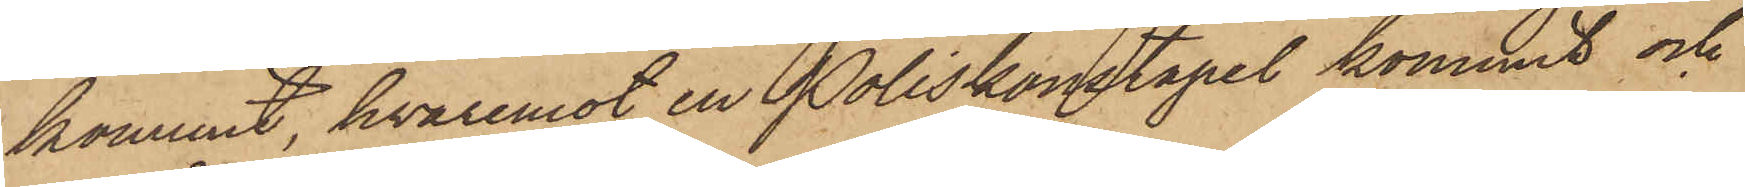kommit, hvaremot en Poliskonstapel kommit och
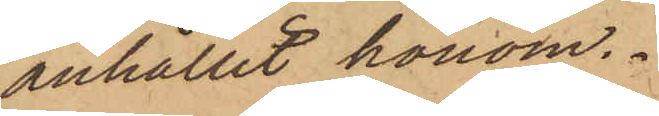anhållit honom.
